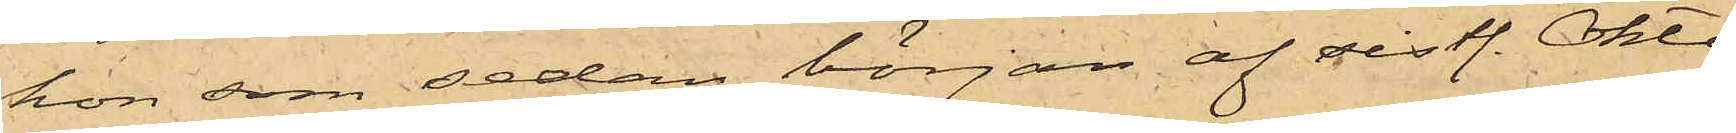hon som sedan början af sistl. Okto¬
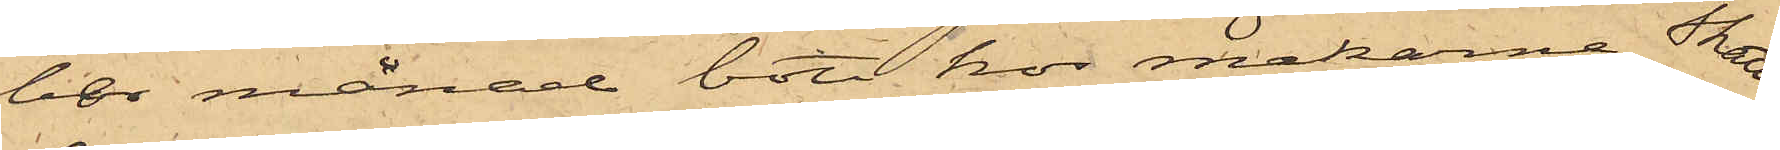ber månad bott hos makarne Skatt¬
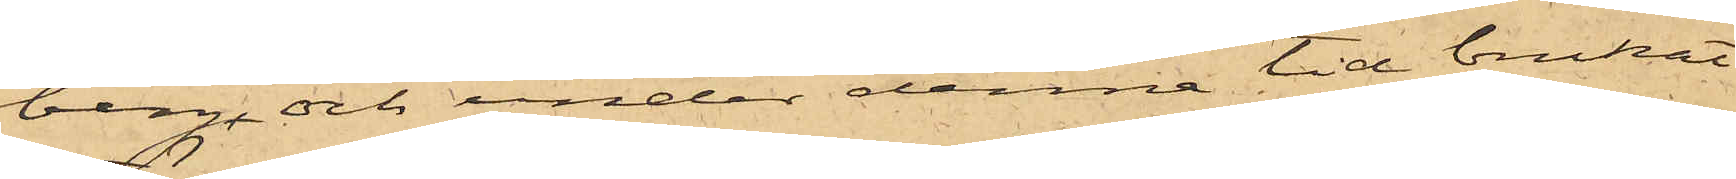berg och under denne tid brukat
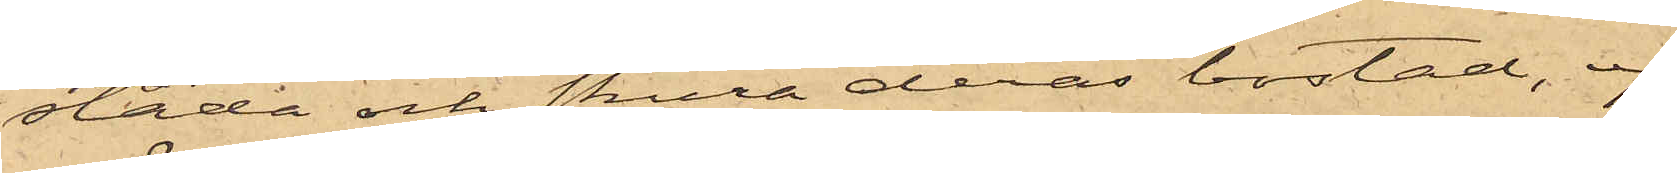städa och skura deras bostad, ej
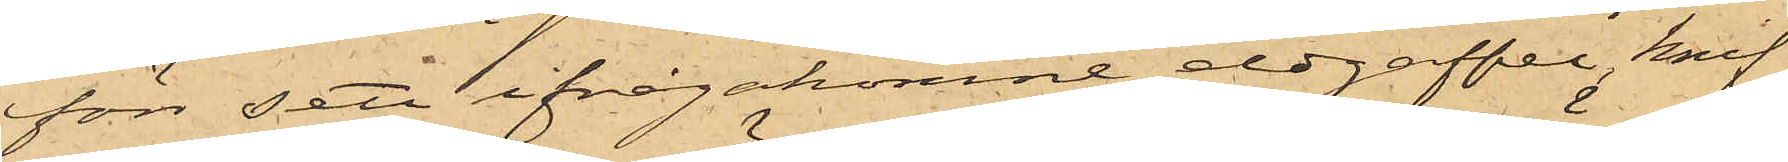förr sett ifrågakomne eldgaffel, knif
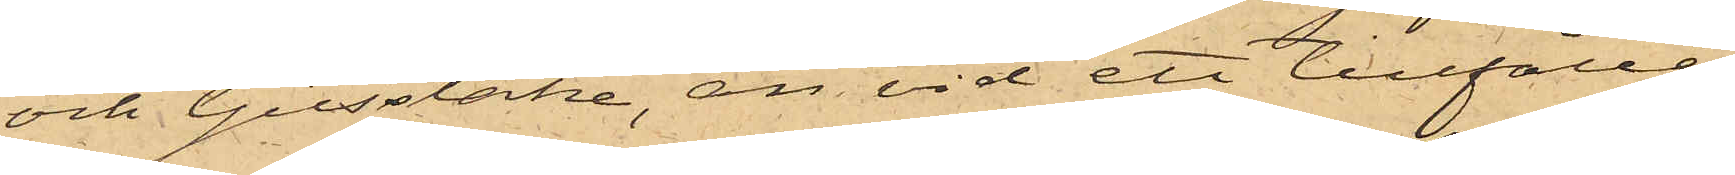och ljusstake, än vid ett tillfälle
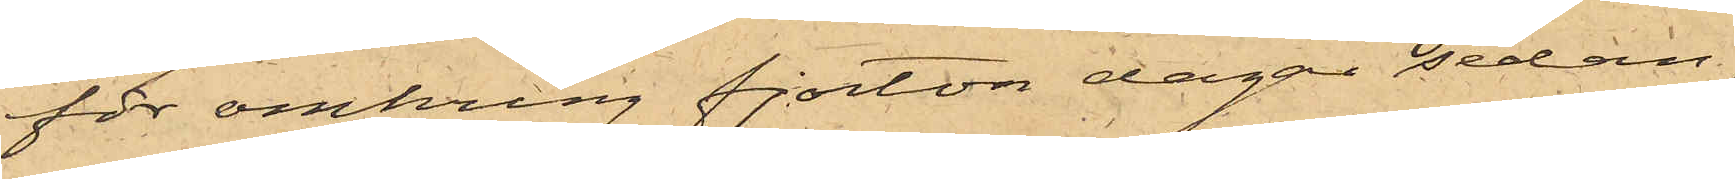för omkring fjorton dagar sedan
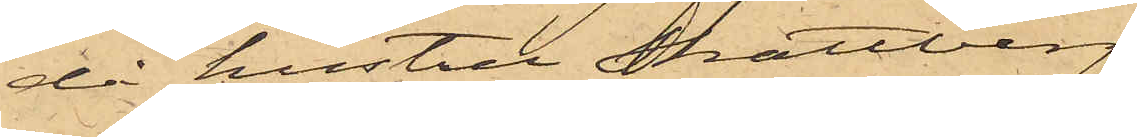då hustru Skattberg,
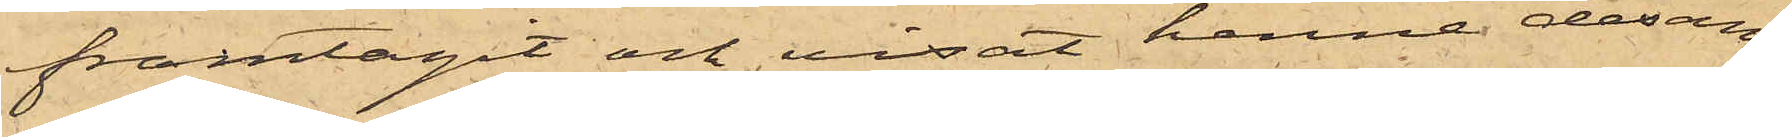framtagit och visat henne desam¬
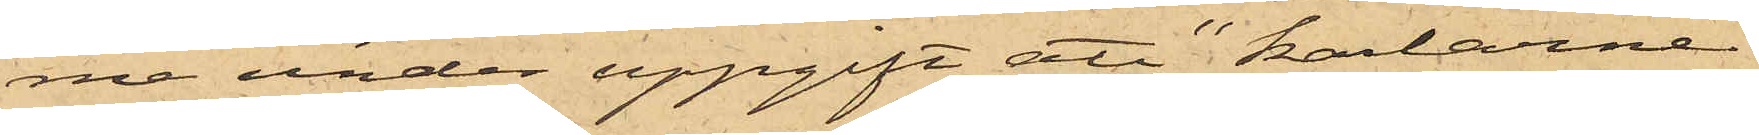me under uppgift att "karlarne"
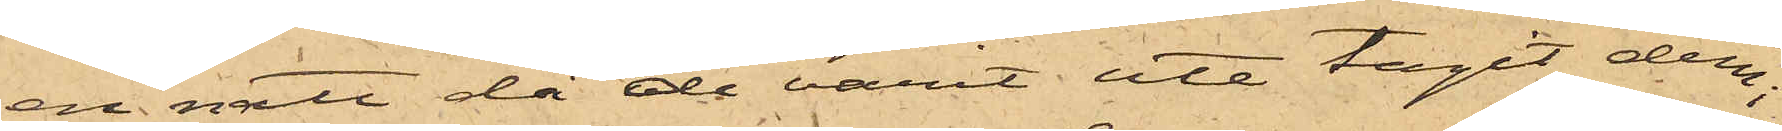en natt då de varit ute tagit dem;
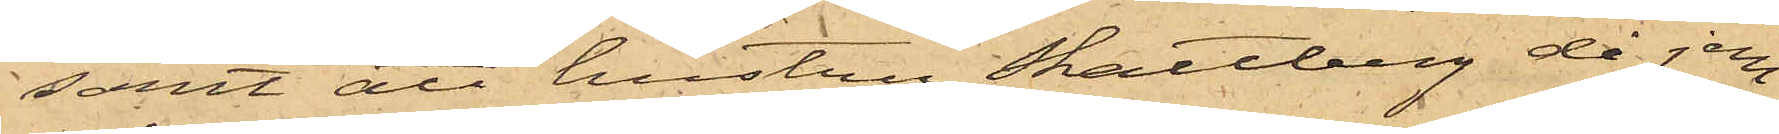samt att hustru Skattberg, då jem¬
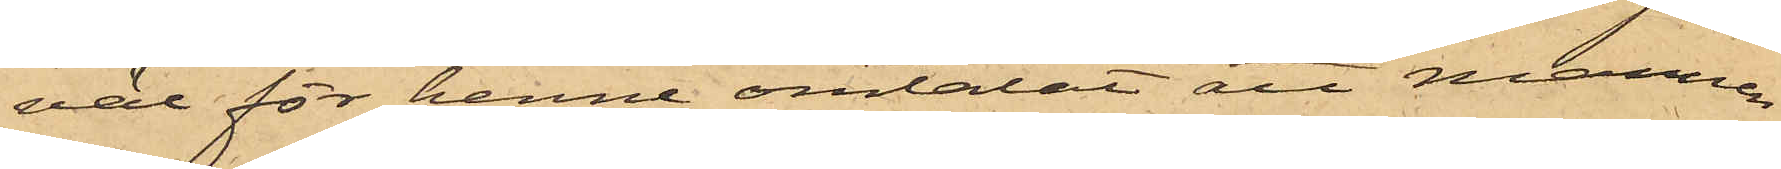väl för henne omtalat att mannen
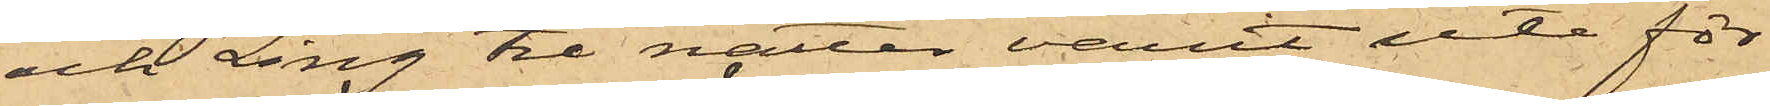och Ling tre nätter varit ute för
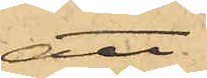att
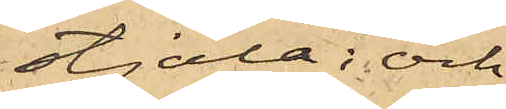stjäla; och
